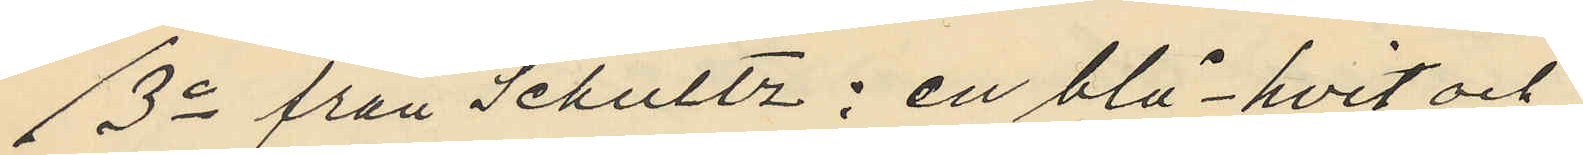3o från Schultz : en blå-hvit och
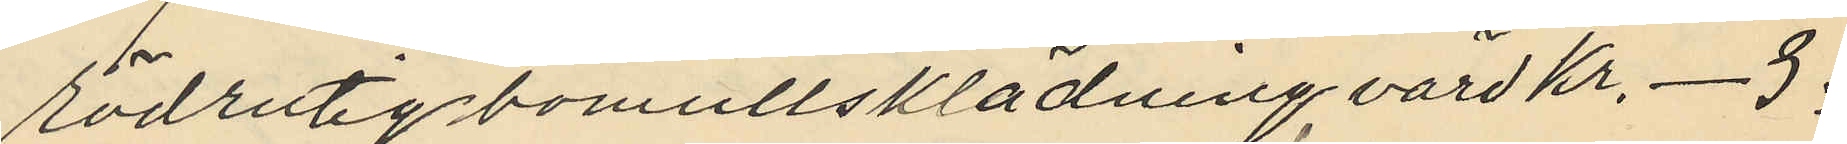rödrutig bomullsklädning, värd Kr. - 3:
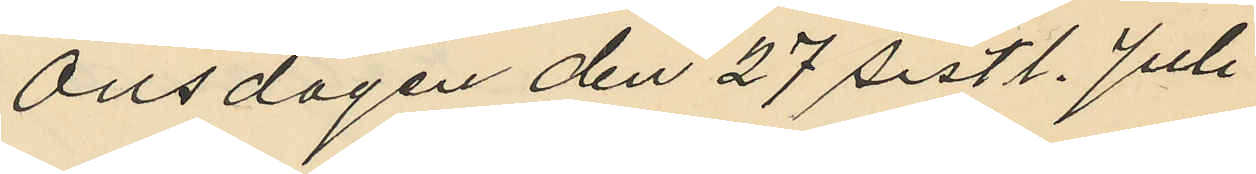Onsdagen den 27 sistl. Juli
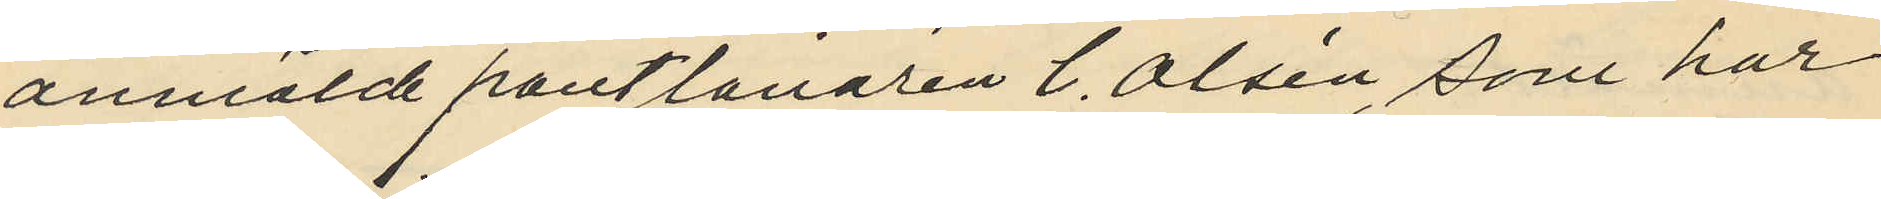anmälde pantlånaren C. Olsén, som har
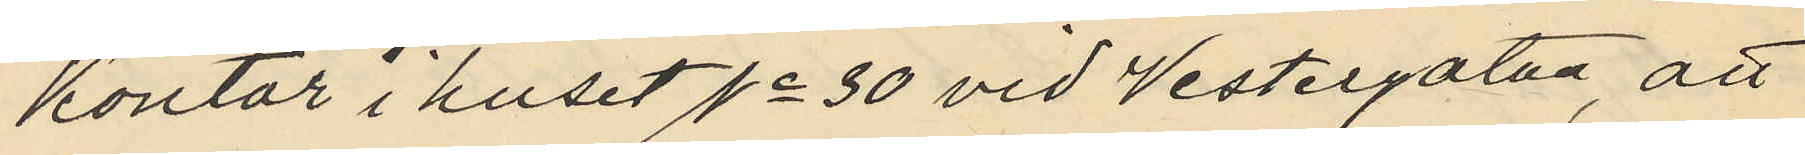kontor i huset No 30 vid Vestergatan, att
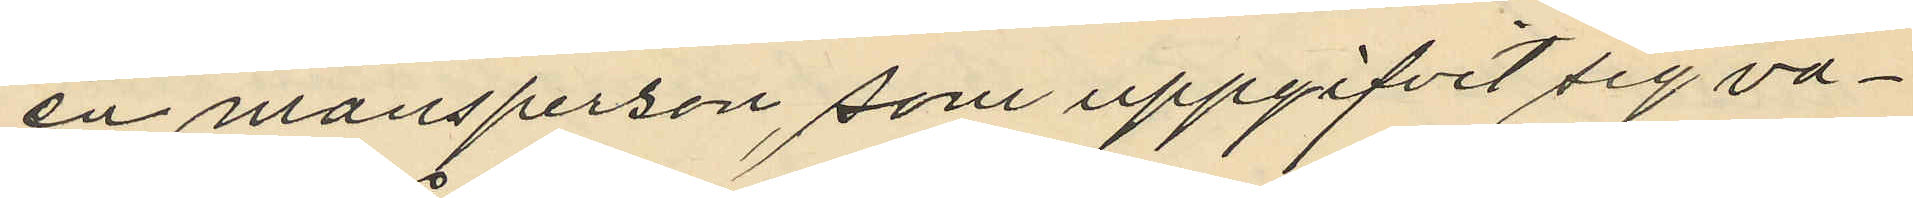en mansperson, som uppgifvit sig va¬
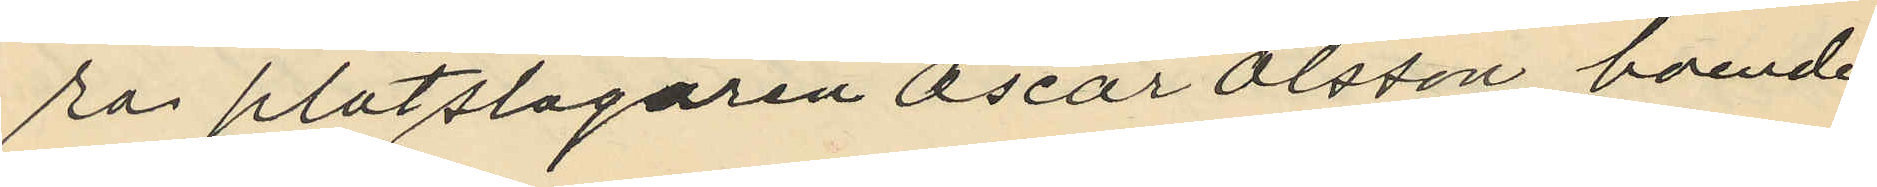ra plåtslagaren Oscar Olsson boende
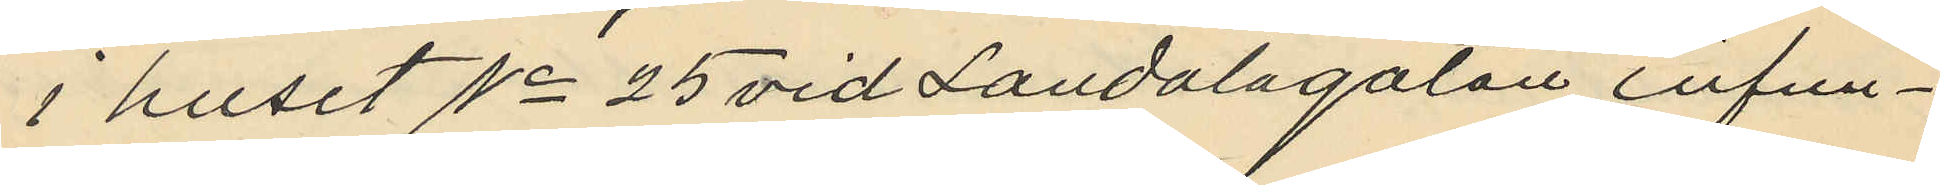i huset No 25 vid Landalagatan infun¬
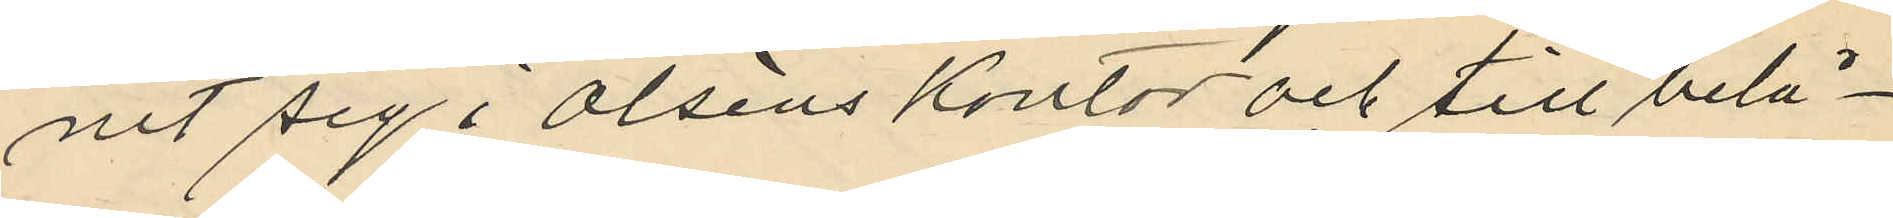nit sig i Olséns kontor och till belå¬
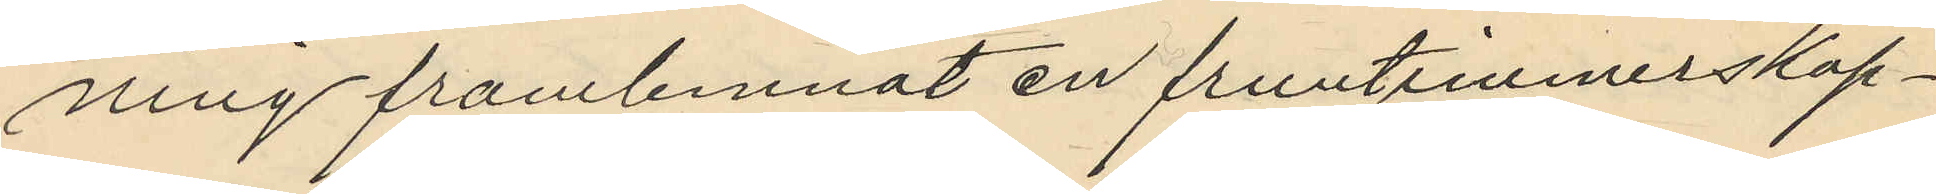ning framlemnat en fruntiimmerskap¬
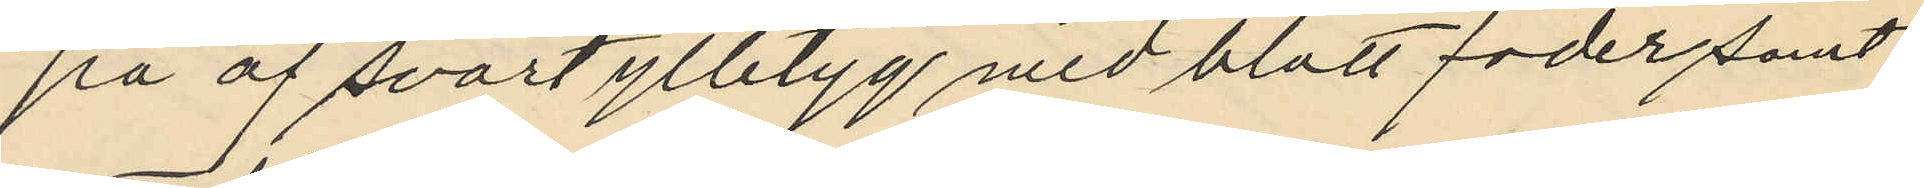pa af svart ylletyg med blått foder samt
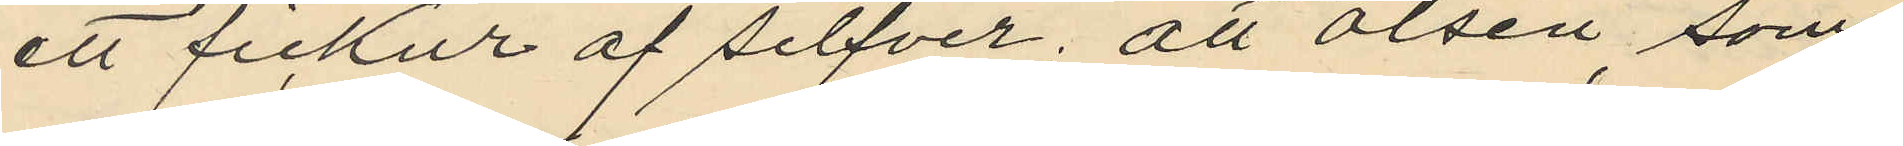ett fickur af silfver, att Olsén, som
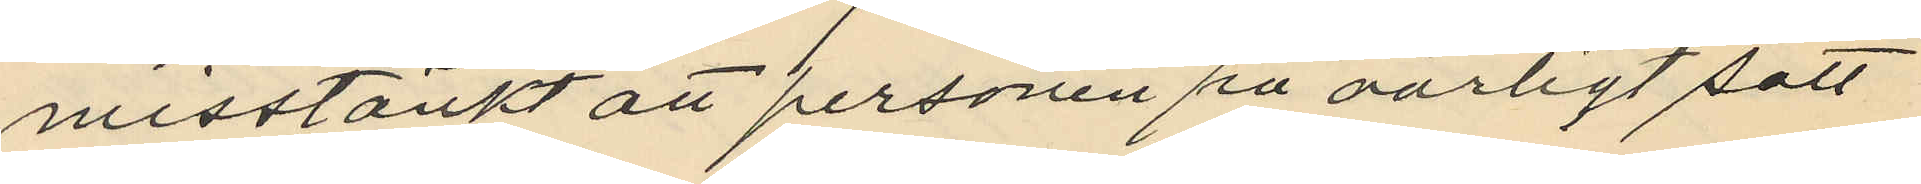misstänkt att personen på oärligt sätt
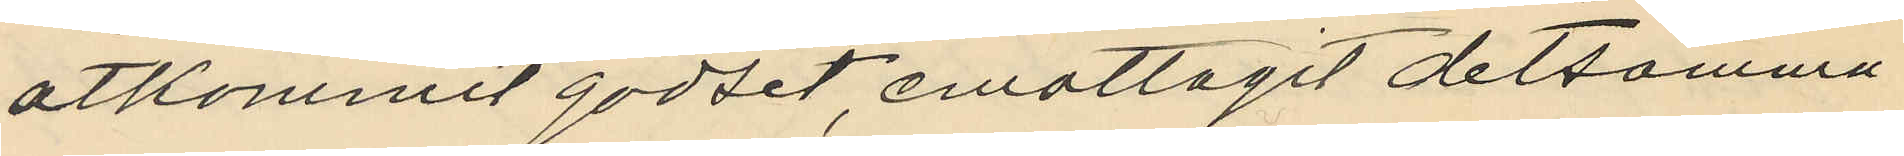åtkommit godset, emottagit detsamma
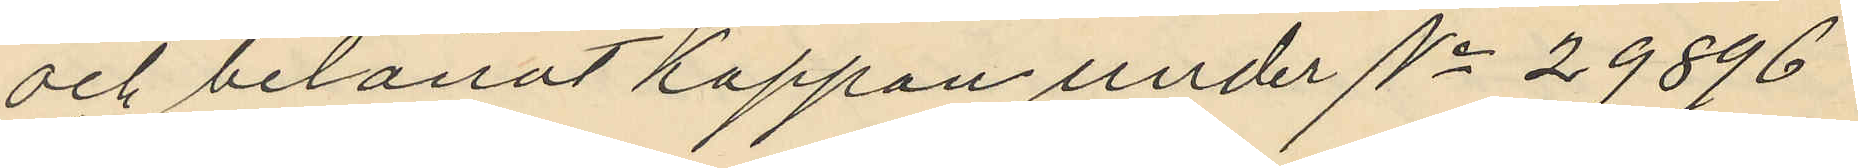och belånat kappan under No 29896
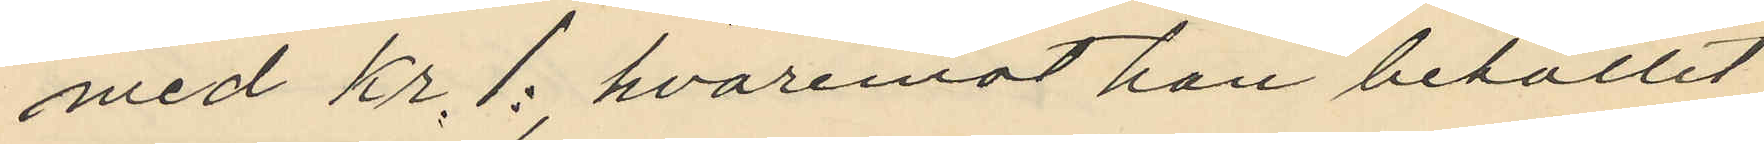med Kr. 1: hvaremot han behållit
